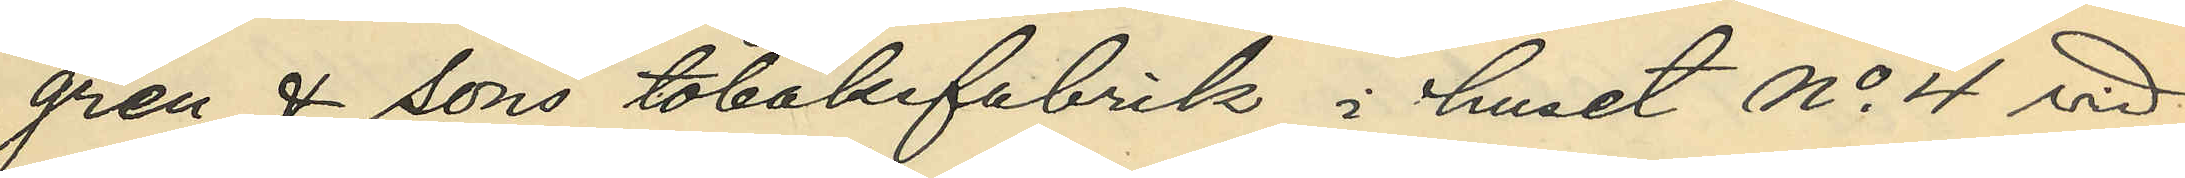gren & Sons tobaksfabrik i huset No 4 vid
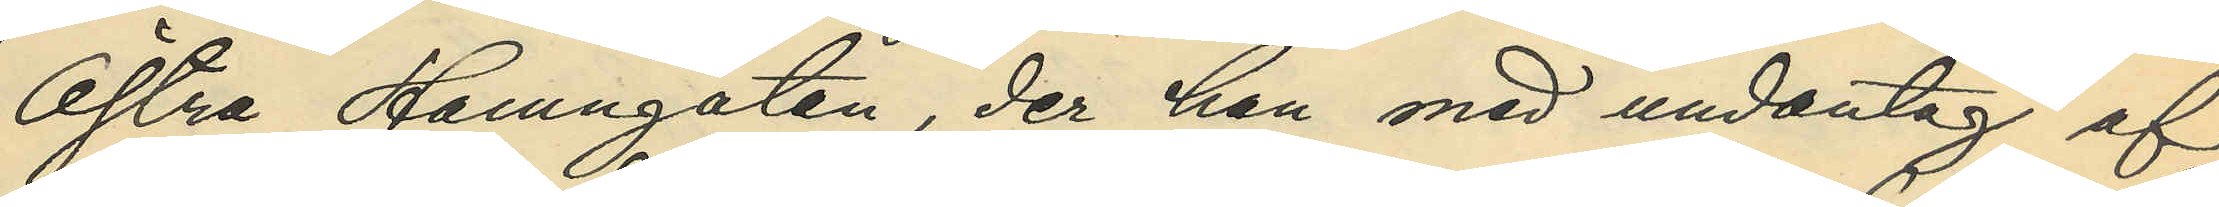Östra Hamngatan, der han med undantag af
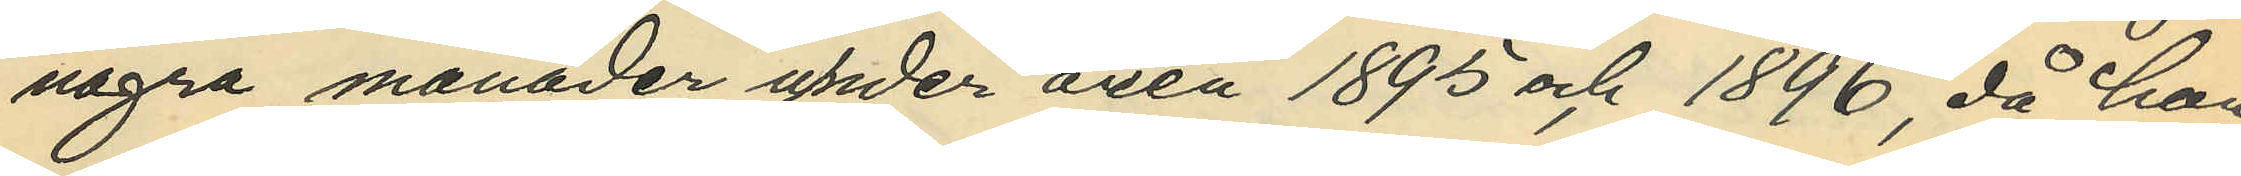några månader under åren 1895 och 1896, då han
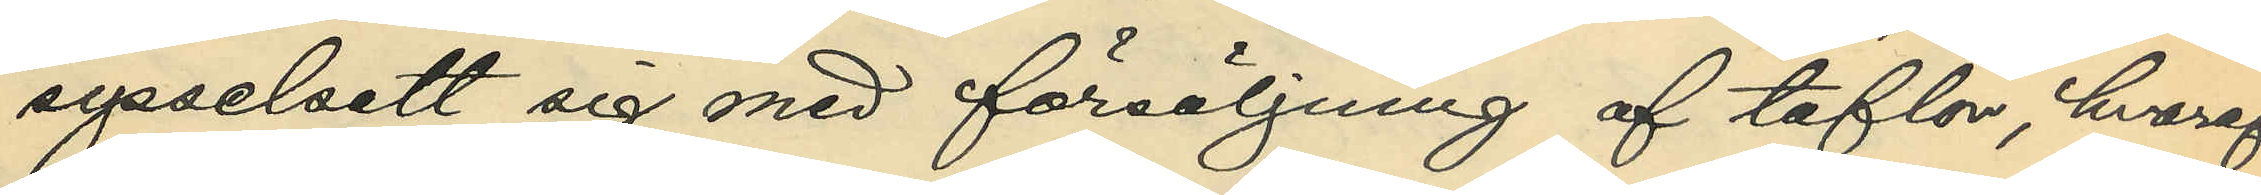sysselsatt sig med försäljning af taflor, hvaraf
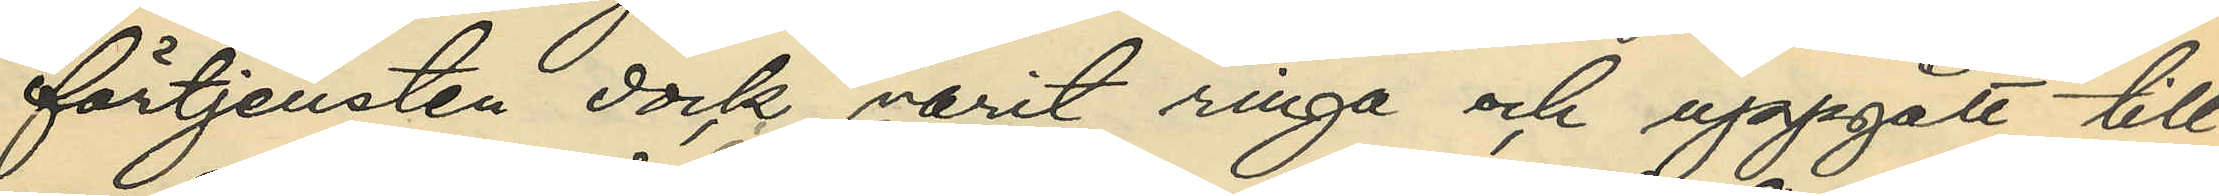förtjensten dock varit ringa och uppgått till
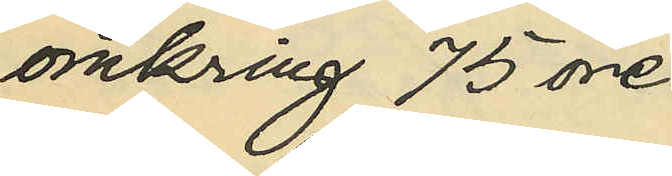omkring 75 öre
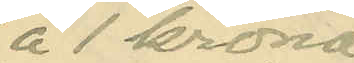à 1 krona
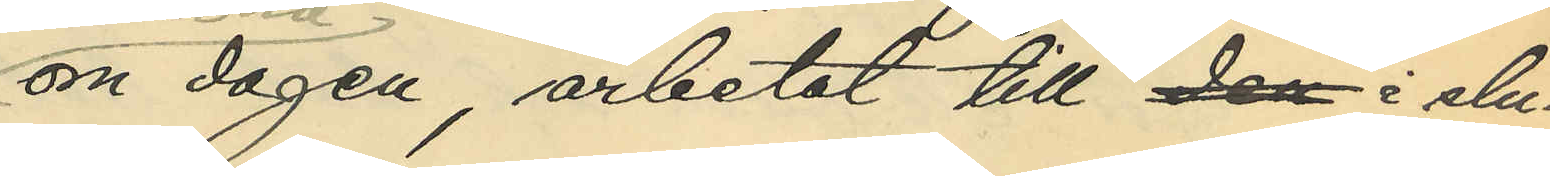om dagen, arbetat till den i slu¬
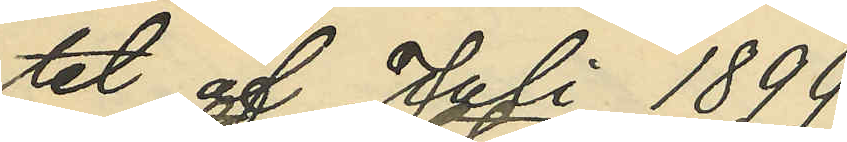tet af Juli 1899;
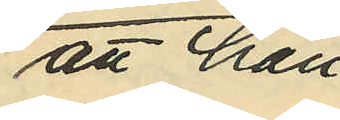att han
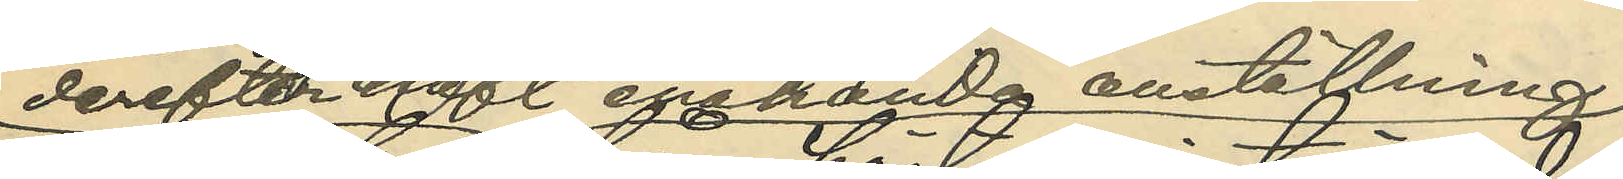derefter haft enahanda anställning
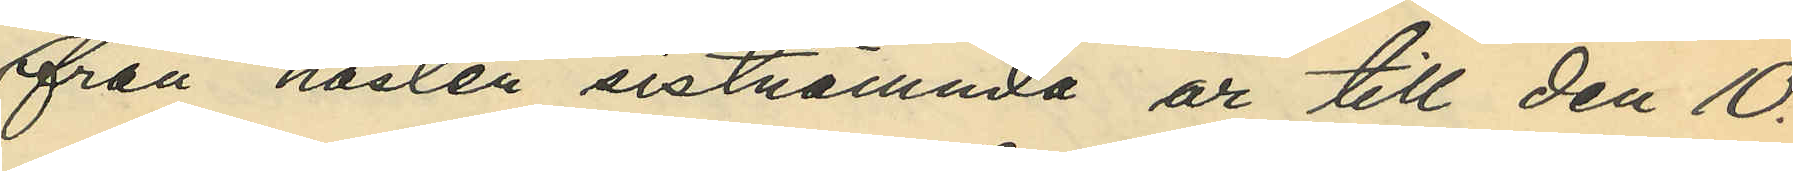från hösten sistnämnda år till den 10.
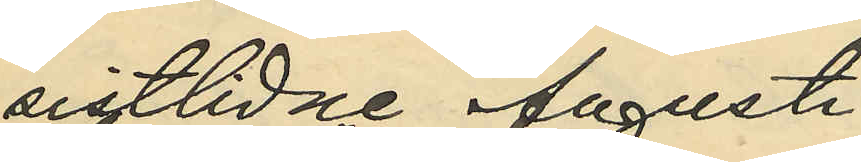sistlidna Augusti
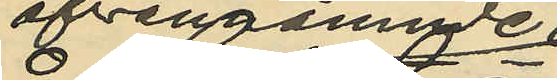å ofvanämnde
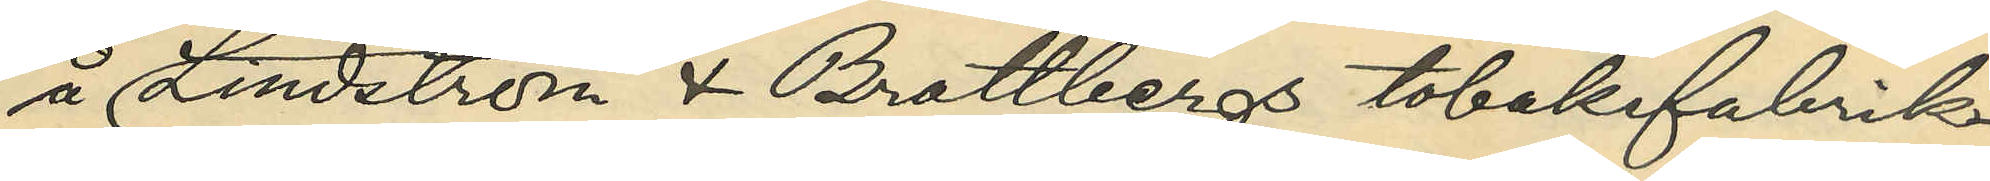Lindström & Brattbergs tobaksfabrik
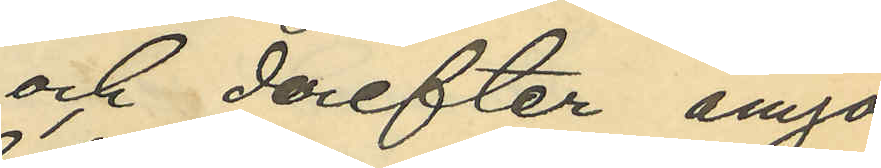och derefter ånyo
